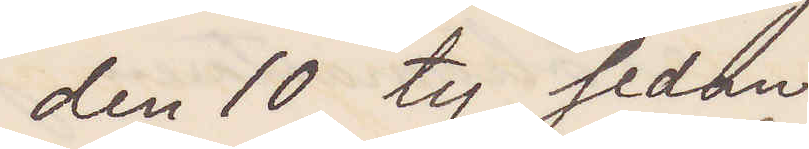den 10, ty sedan
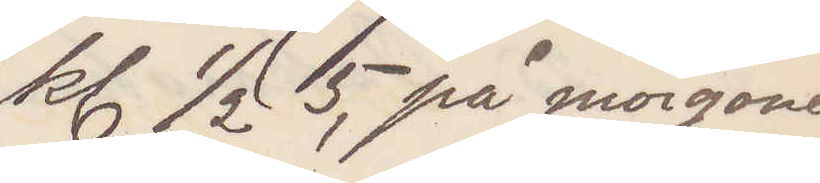kl ½ 5 på morgonen
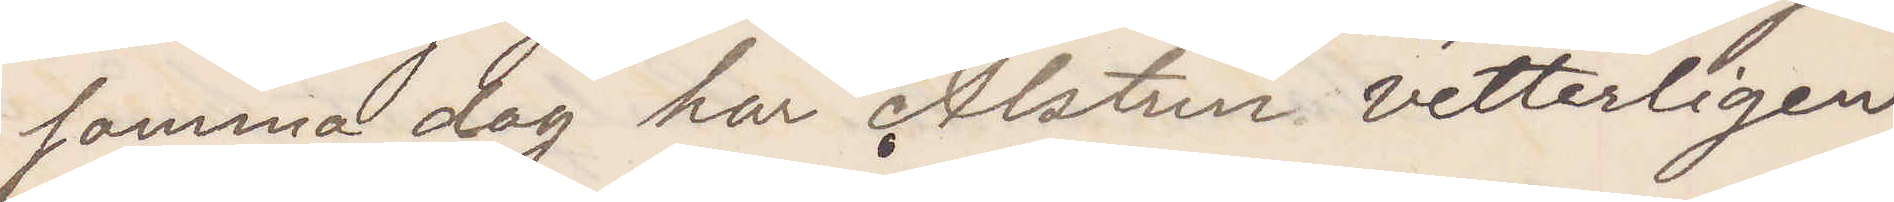samma dag har Alstrin vetterligen
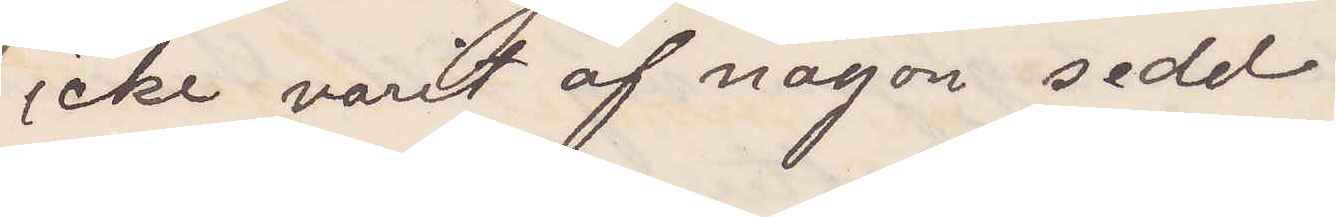icke varit af någon sedd.
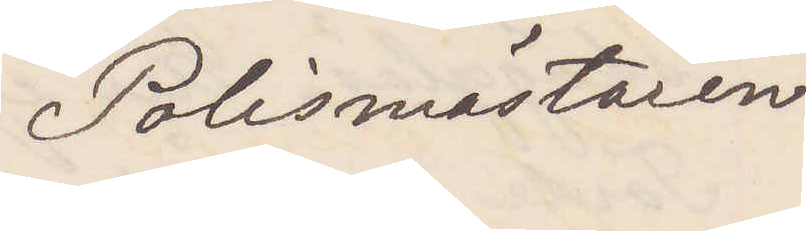Polismästaren
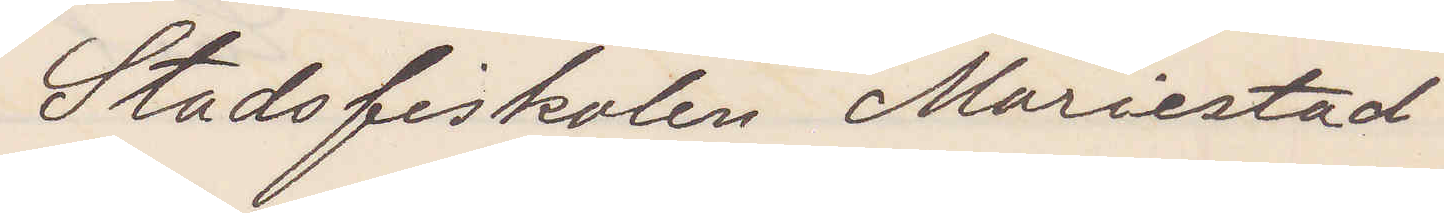Stadsfiskalen Mariestad
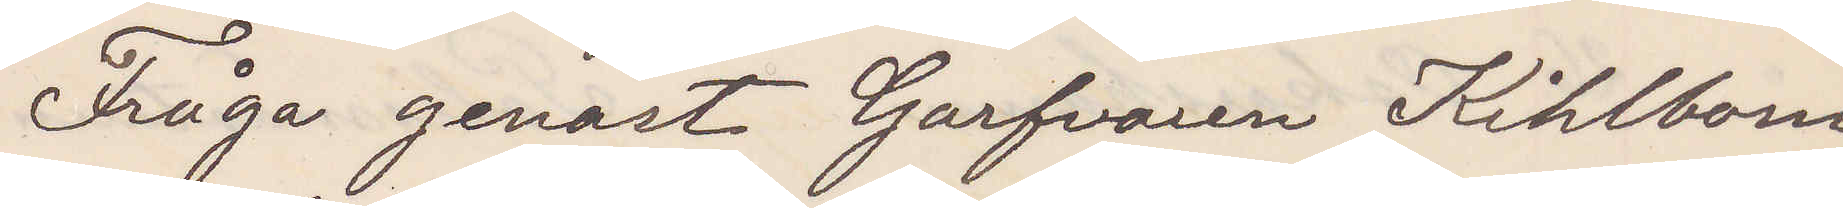Fråga genast Garfvaren Kihlbom
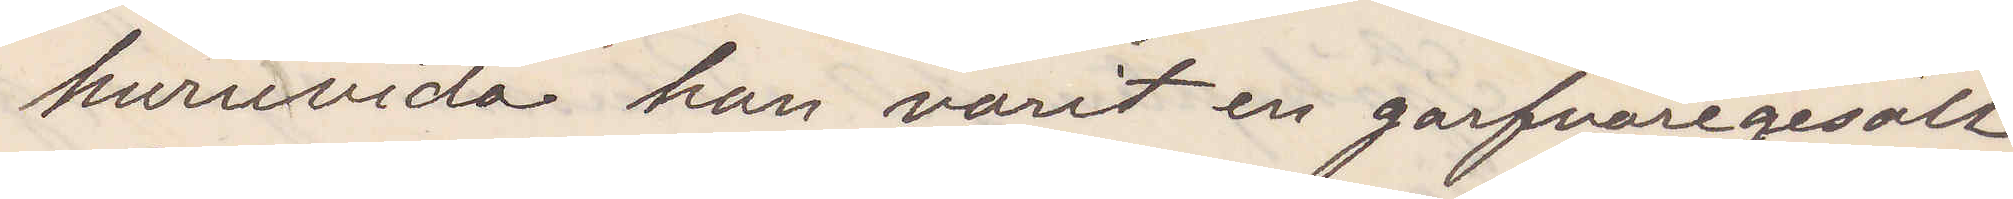huruvida han varit en garfvaregesäll
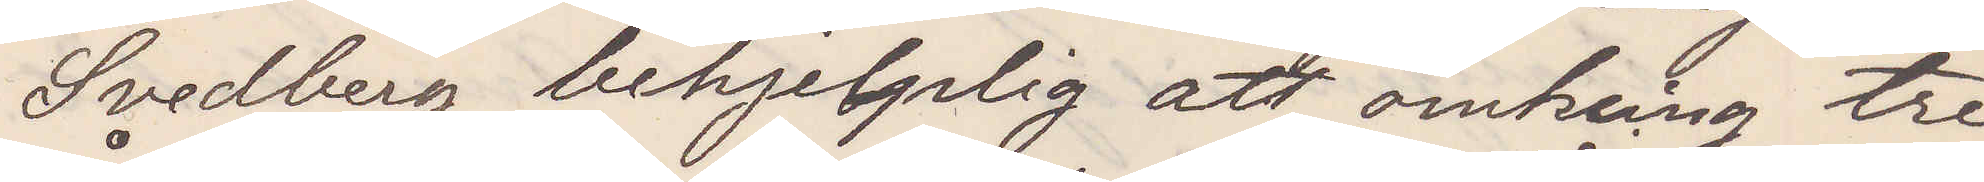Svedberg behjelplig att omkring tre
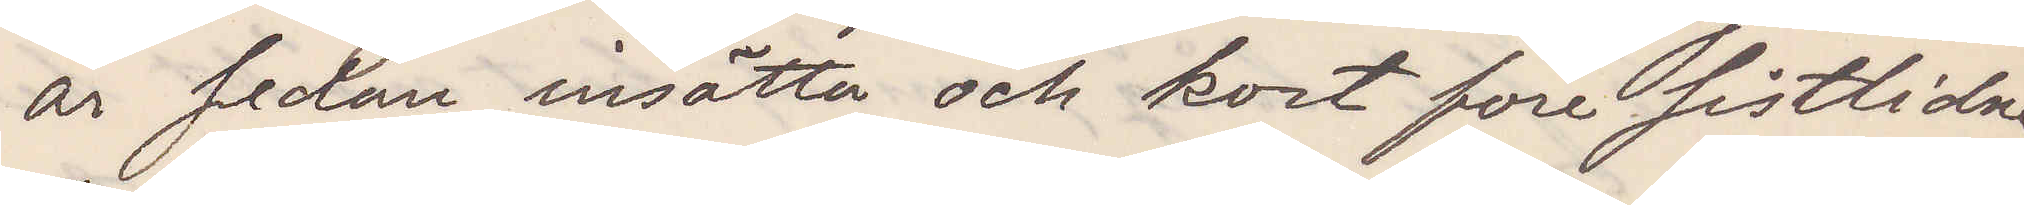år sedan insätta och kort före sistlidne
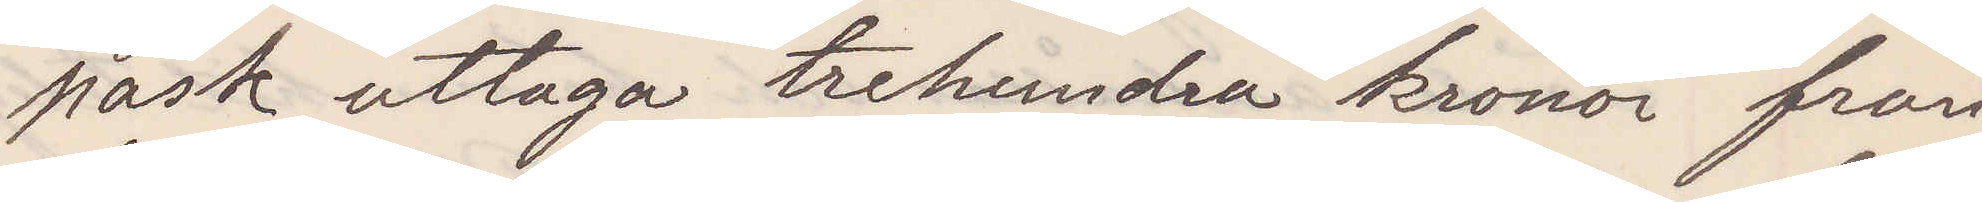påsk uttaga trehundra kronor från
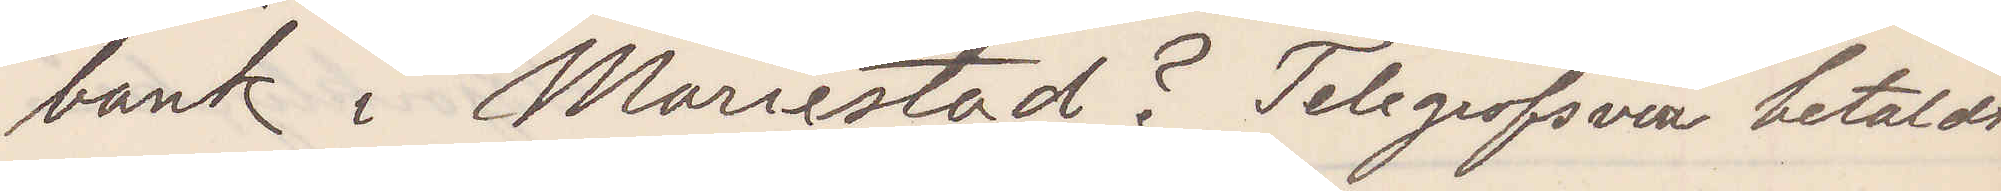  bank i Mariestad? Telegrafsvar betaldt.
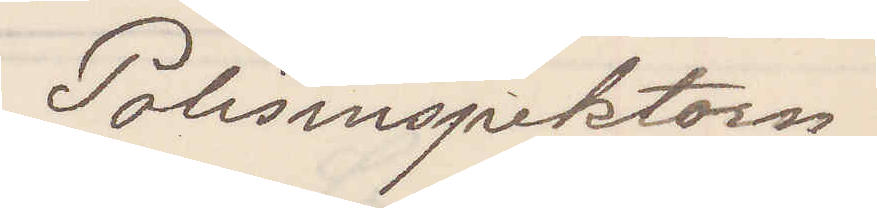Polisinspektorn
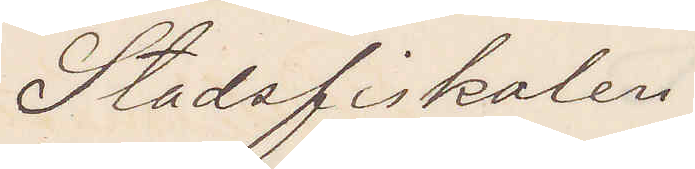Stadsfiskalen 
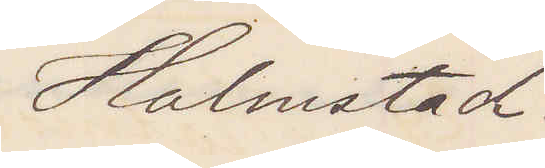Halmstad.
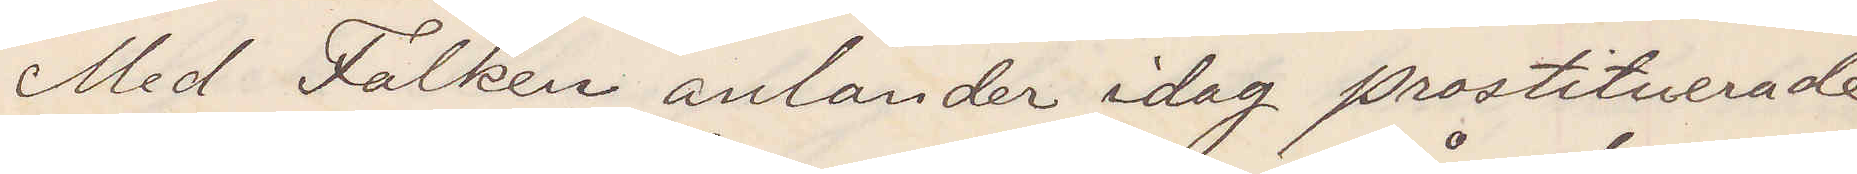Med Falken anländer idag prostituerade
